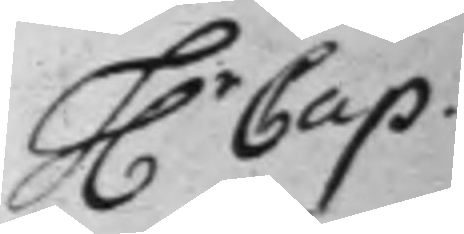H.r Cap:
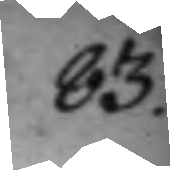83.
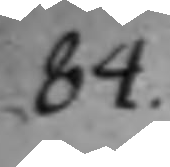84.
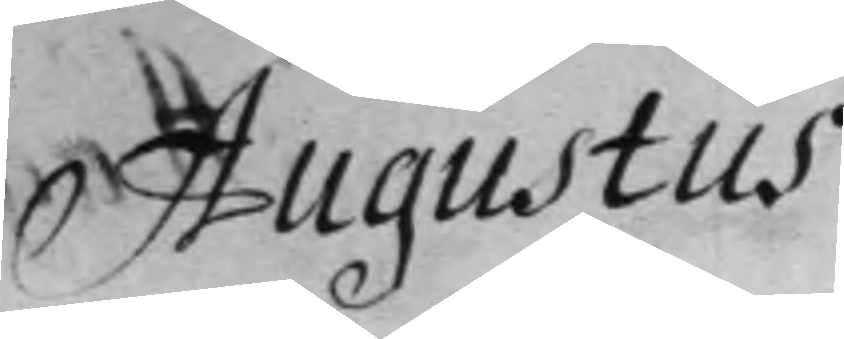Augustus
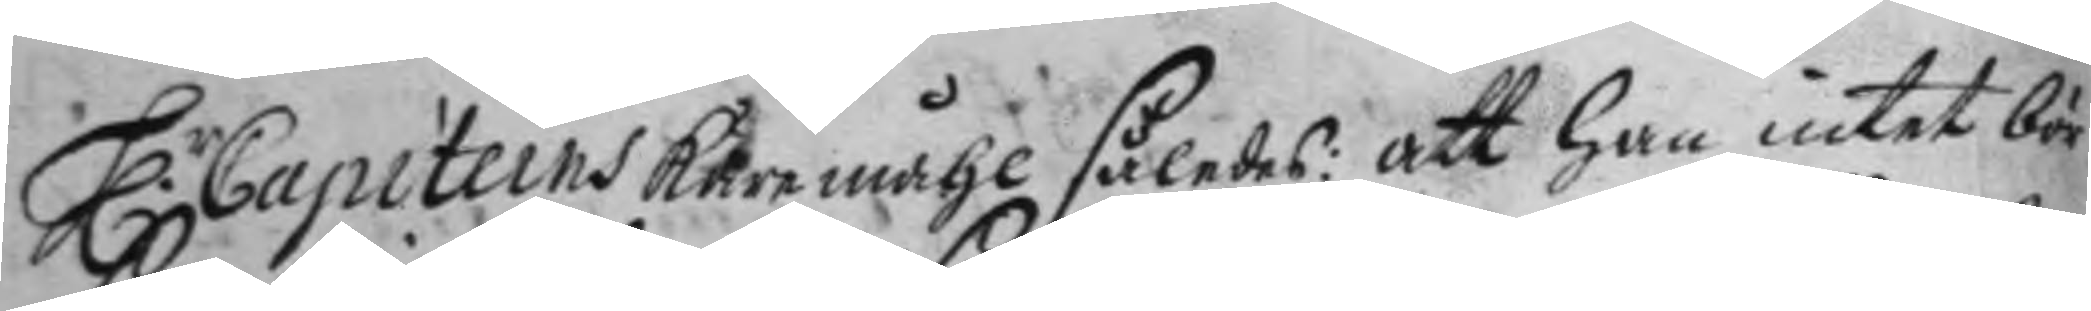H.r Capiteins käre måhl således: att han intet bör
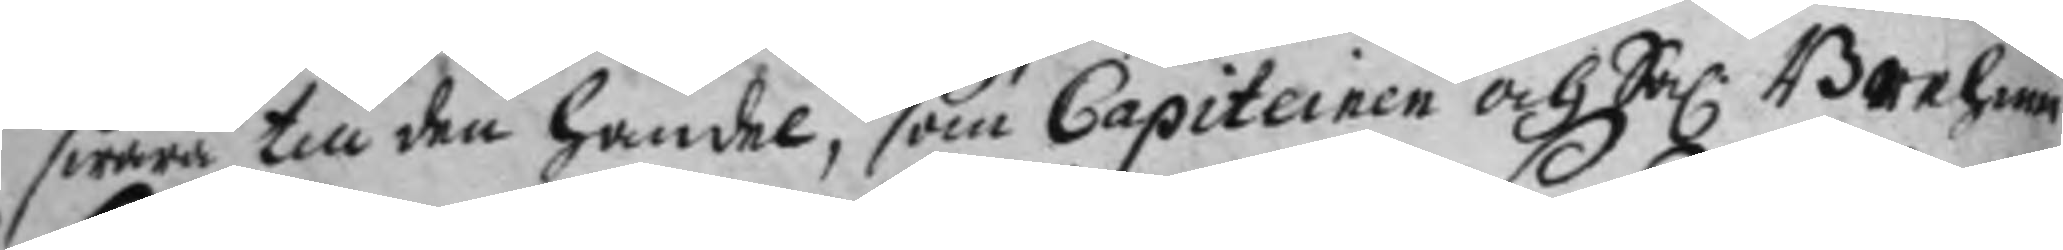swara till den handel, som Capiteinen och Sal: Brehmer
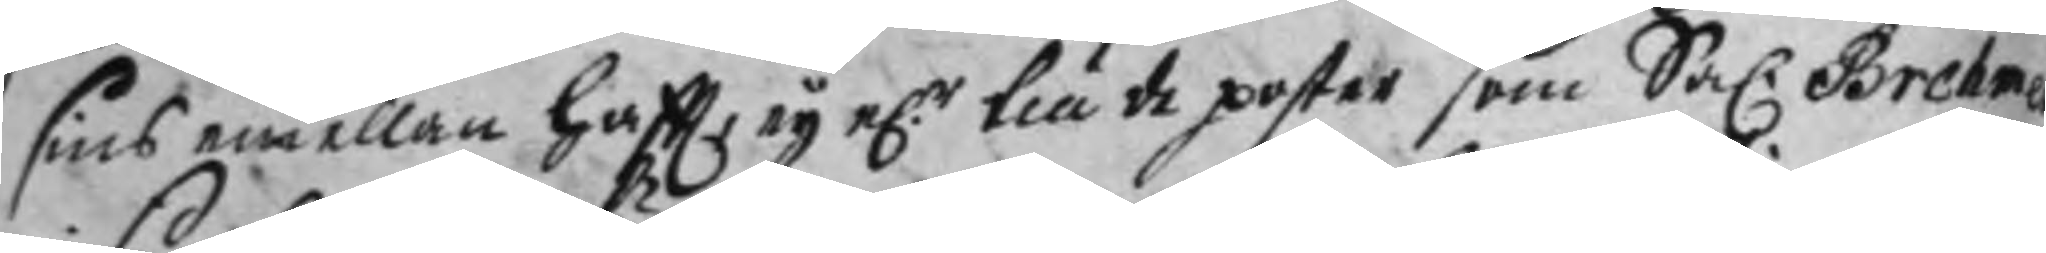sins elellan haftt, ey e.r till de poster som Sal. Brehmer
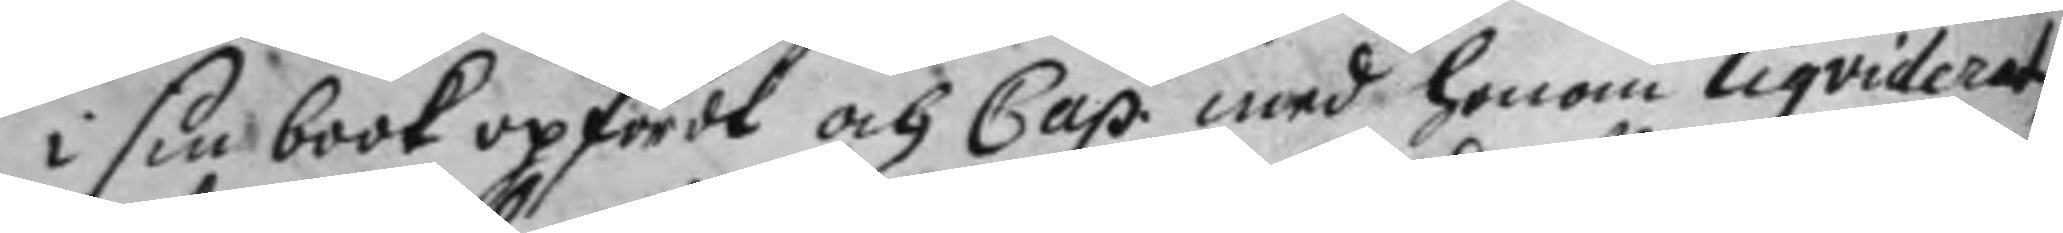i sin book upfördt och Cap. med honom liqviderat,
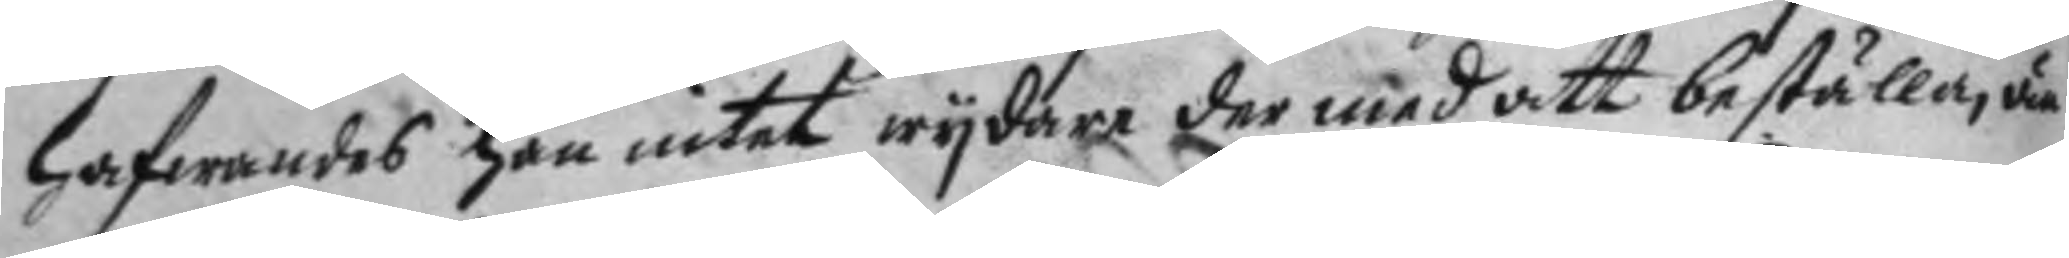hafwandes han intet wydare der med att beställa, än
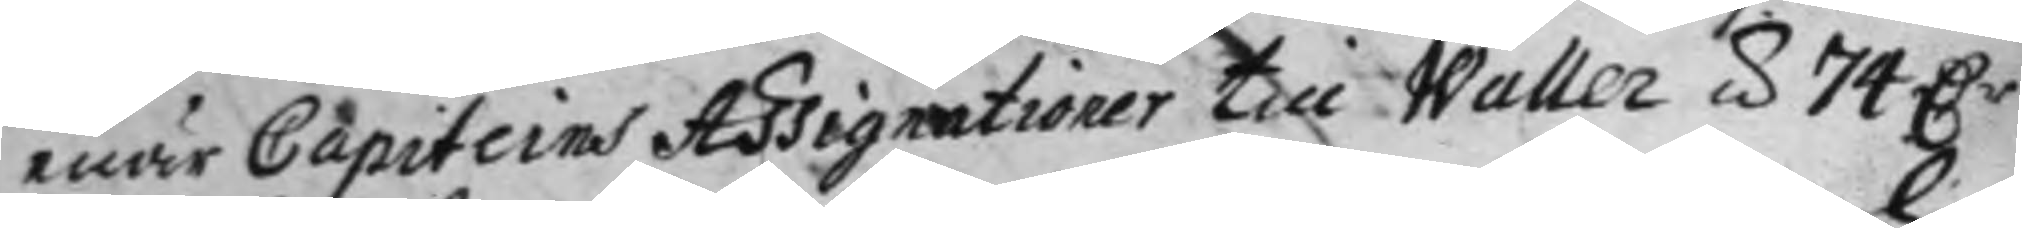enär Capiteins Assigrationer till Waller á 74 D.r
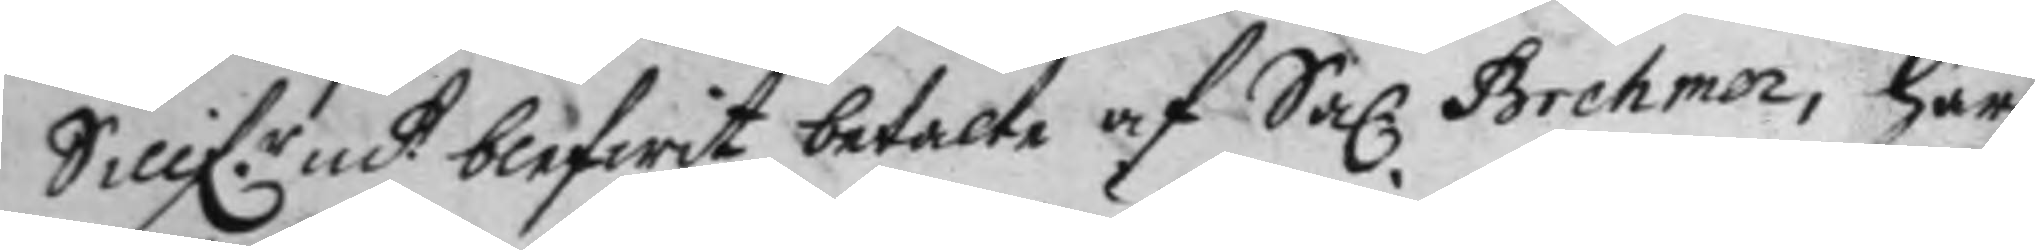Sillf.r mtt blefwit betalte af Sal. Brehmer, har
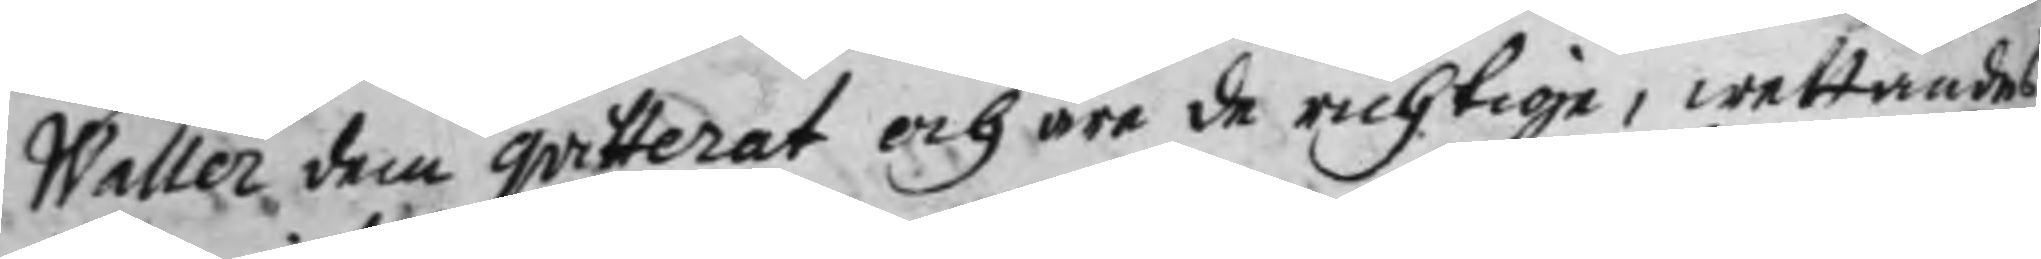Waller dem qvitterat och äre de richtige, wettandes
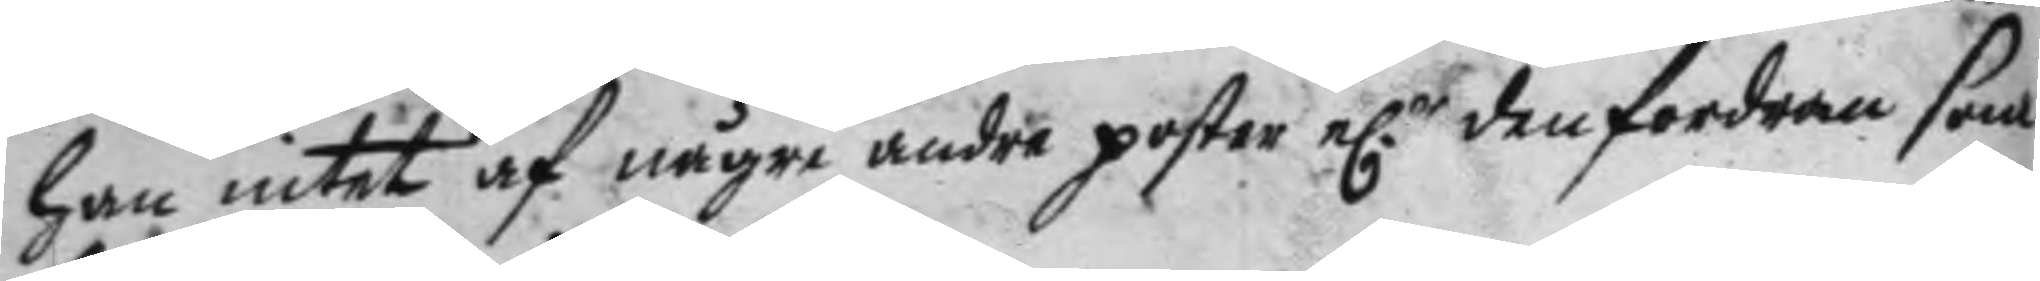han intet af någre andre poster e.r den fordran som
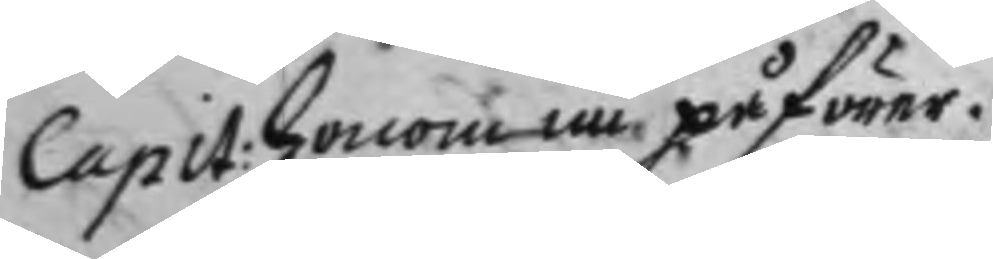Capit: honom nu påförer.
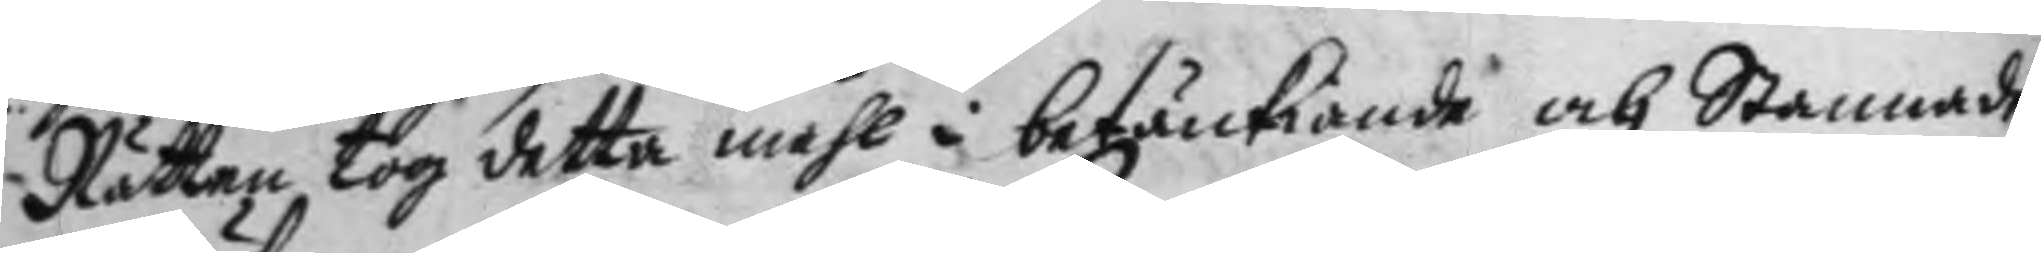Rätten tog detta måhl i betänkiande och Stannade
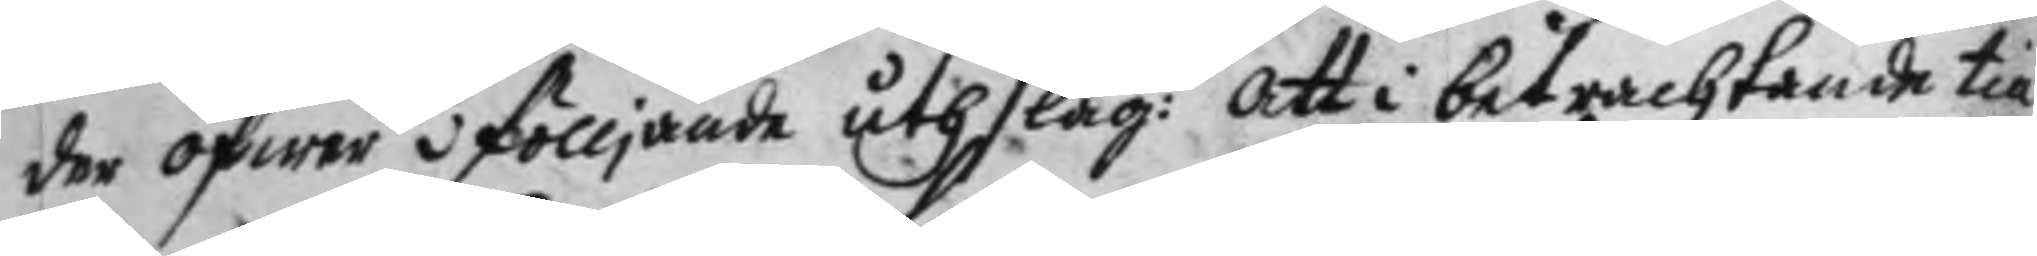der öfwer i fölljande uthslag: att i betrachtande till
